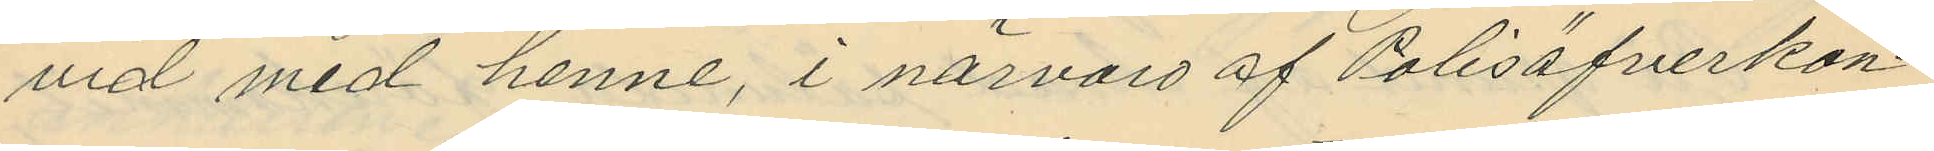vid med henne, i närvaro af Polisöfverkon¬
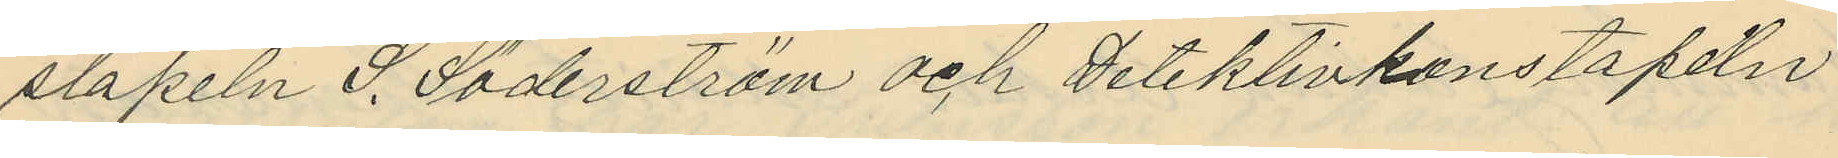stapeln S. Söderström och Detektivkonstapeln
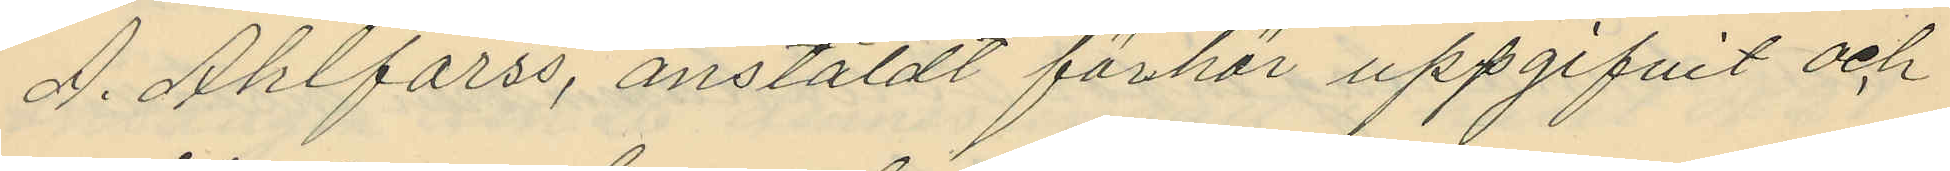A. Ahlforss, anstäldt förhör uppgifvit och
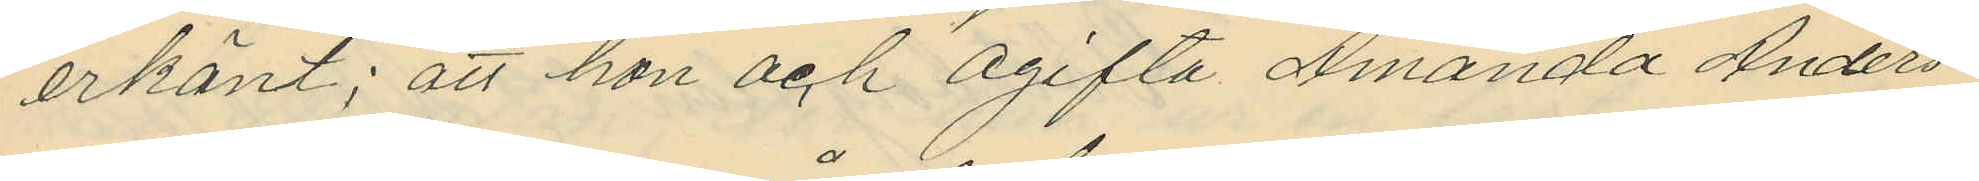erkänt; att hon och ogifta Amanda Anders¬
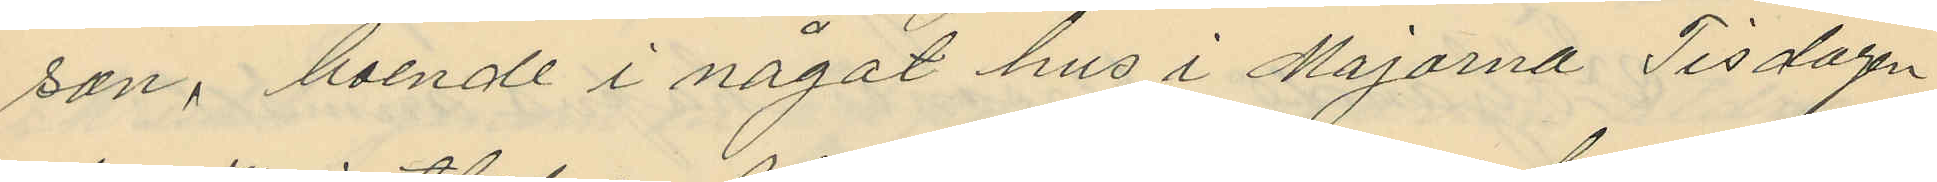son, boende i något hus i Majorna Tisdagen
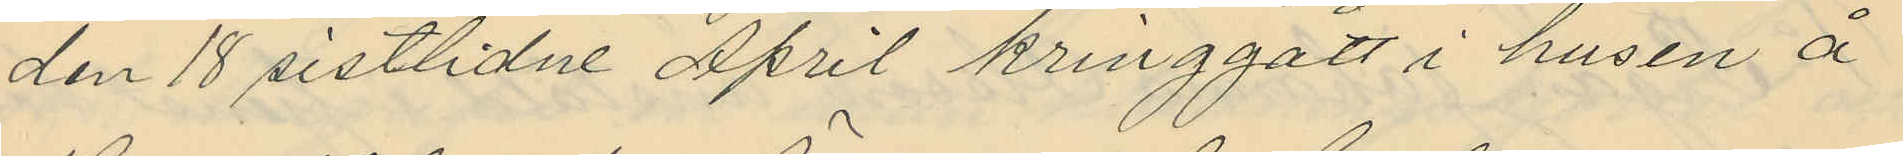den 18 sistlidne April kringgått i husen å
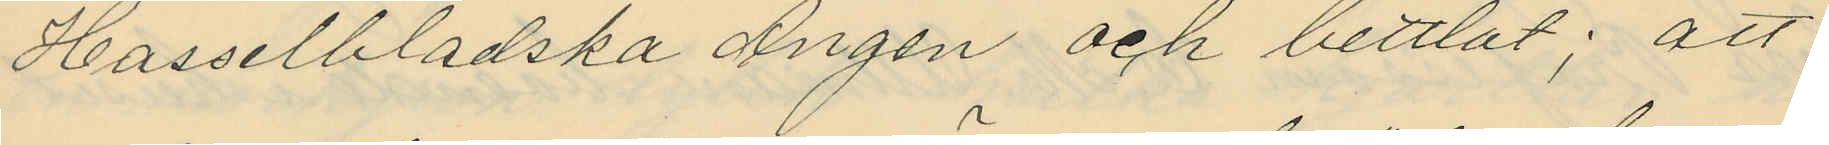Hasselbladska Ängen och bettlat; att
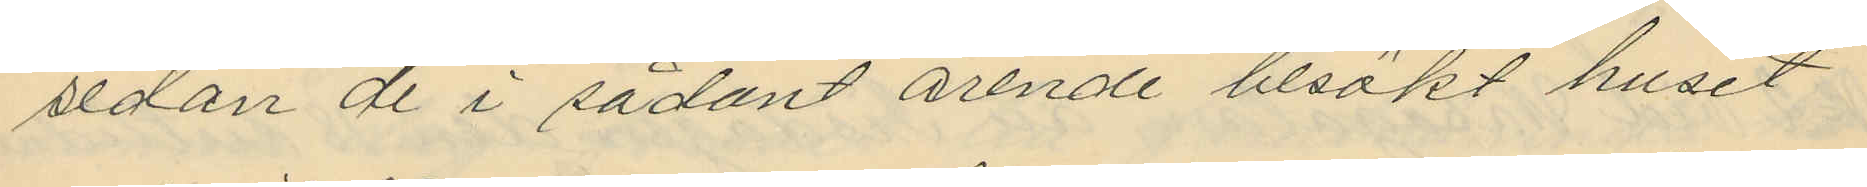sedan de i sådant ärende besökt huset
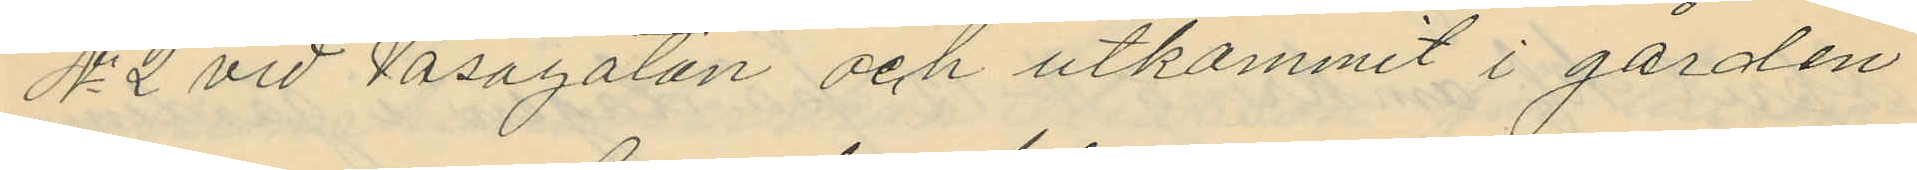No 2 vid Vasagatan och utkommit i gården
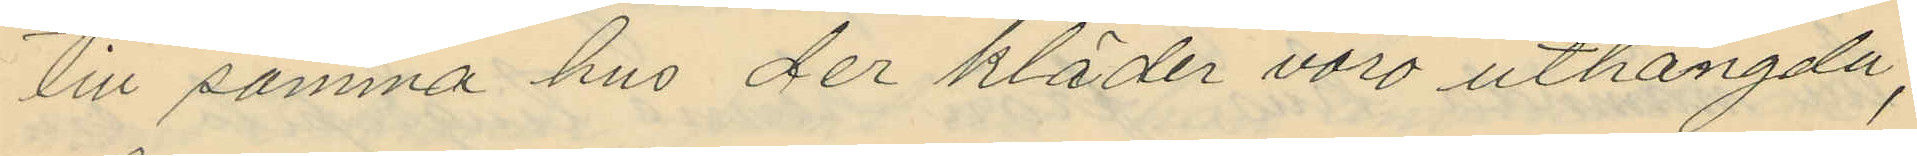till samma hus der kläder voro uthängda,
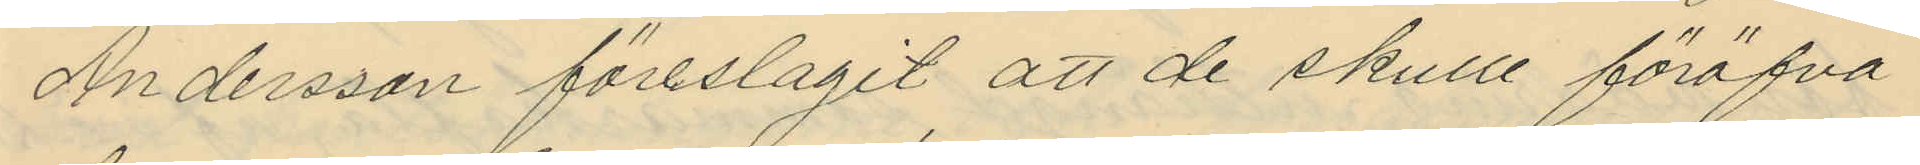Andersson föreslagit att de skulle föröfva
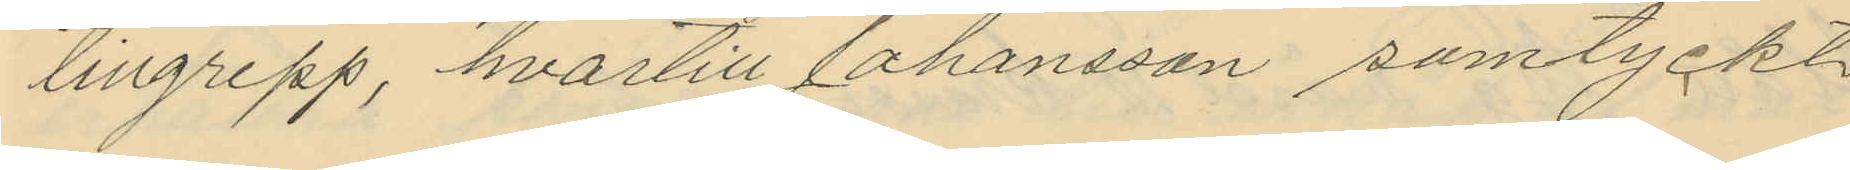tillgrepp, hvartill Johansson samtyckt
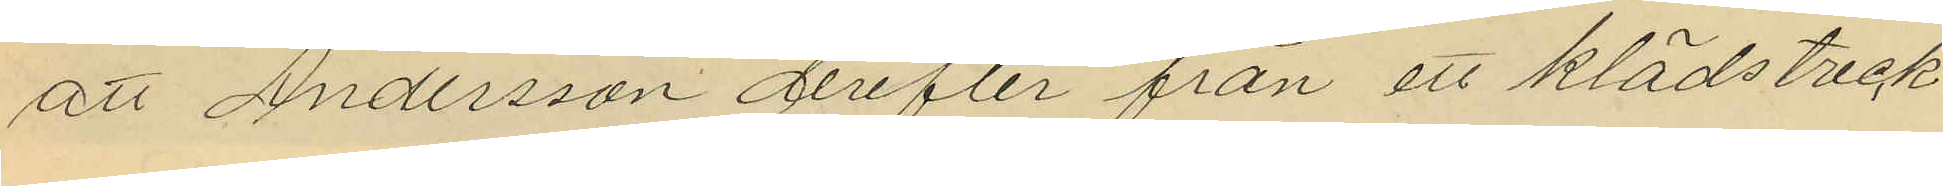att Andersson derefter från ett klädstreck
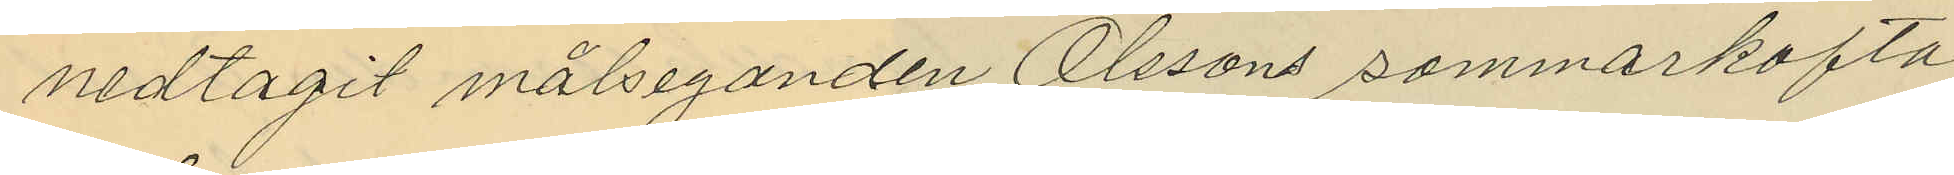nedtagit målseganden Olssons sommarkofta
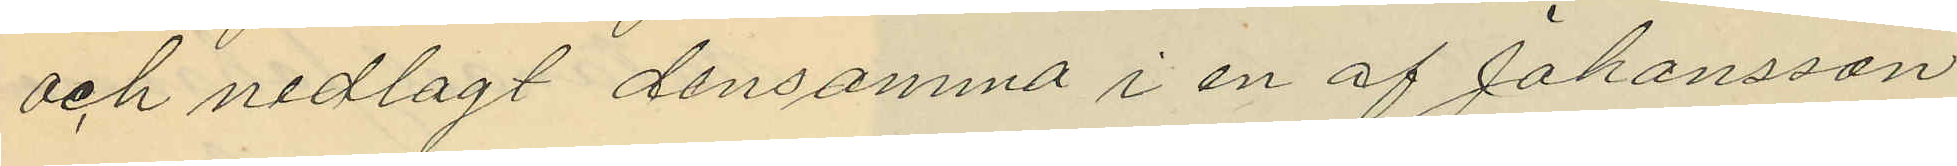och nedlagt densamma i en af Johansson
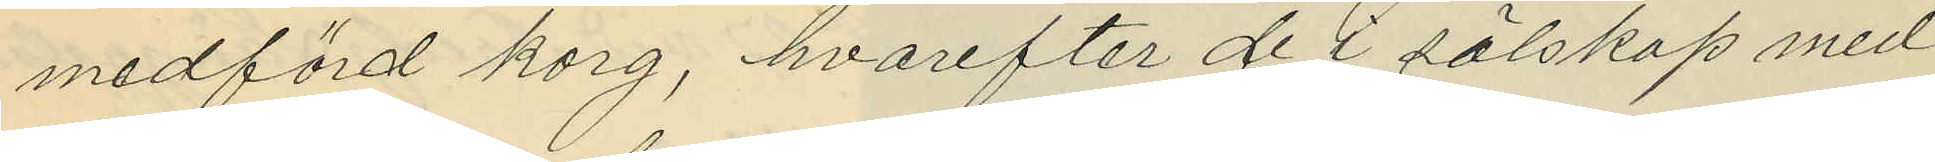medförd korg, hvarefter de i sälskap med
